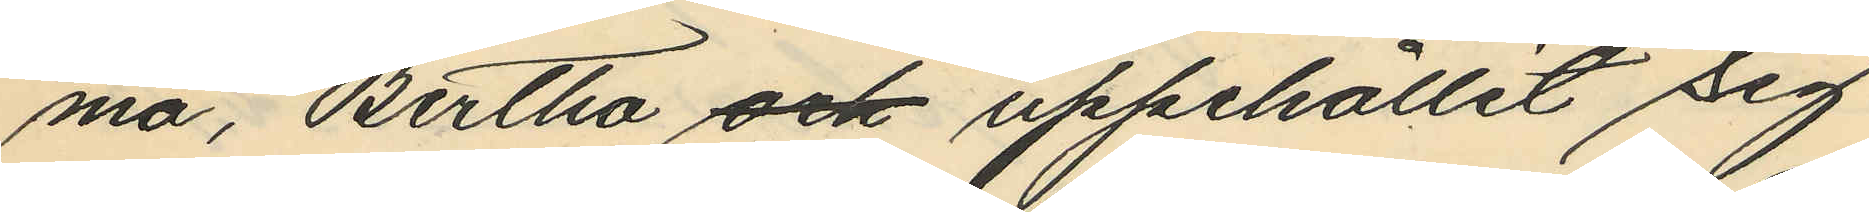ma, Bertha och uppehållit sig
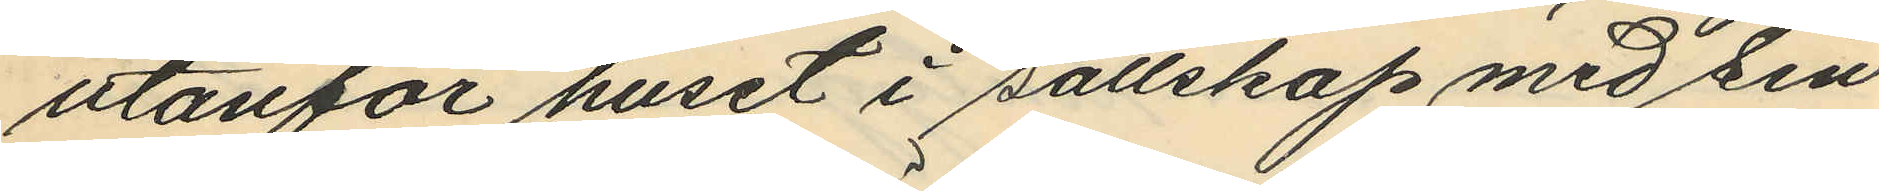utanför huset i sällskap med sin
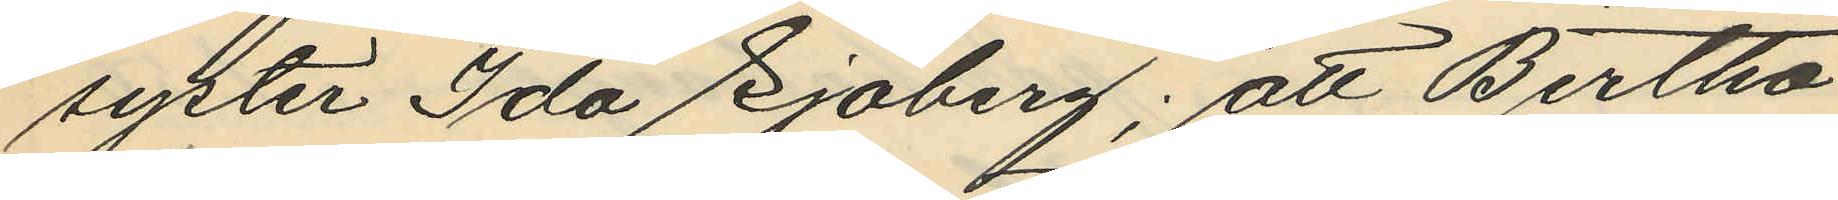syster Ida Sjöberg; att Bertha
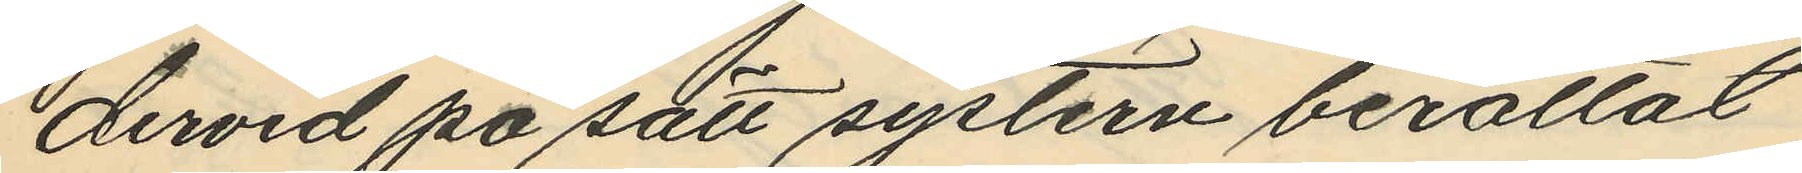dervid på sätt systern berättat
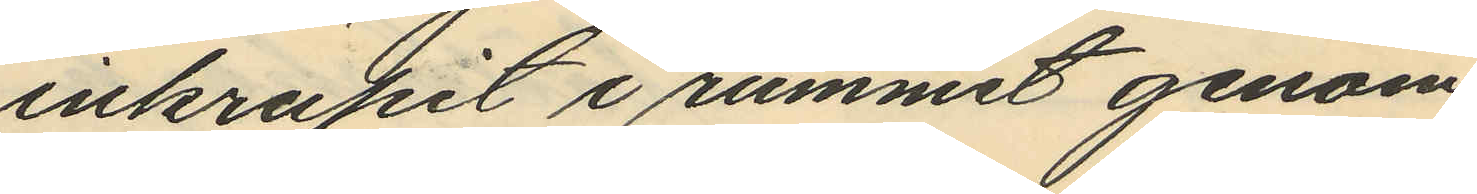inkrupit i rummet genom
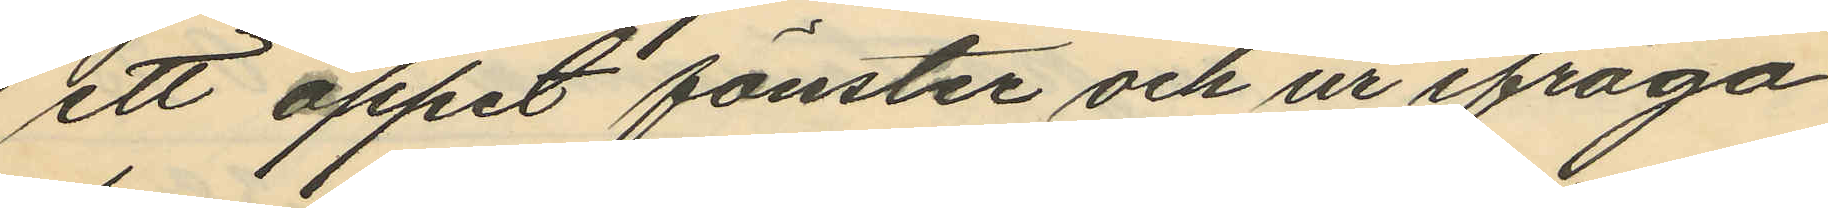ett öppet fönster och ur ifråga¬
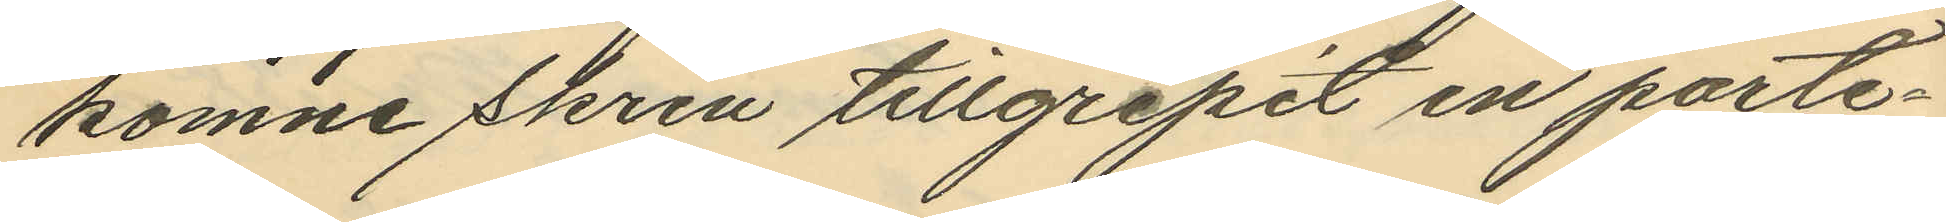komne skrin tillgripit en porte¬
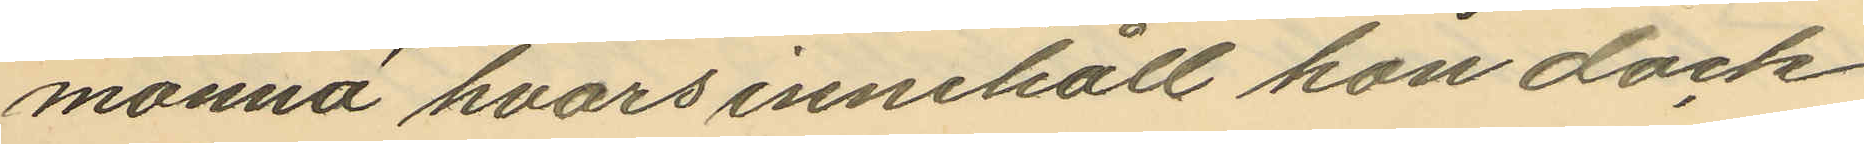monnä hvars innehåll hon dock
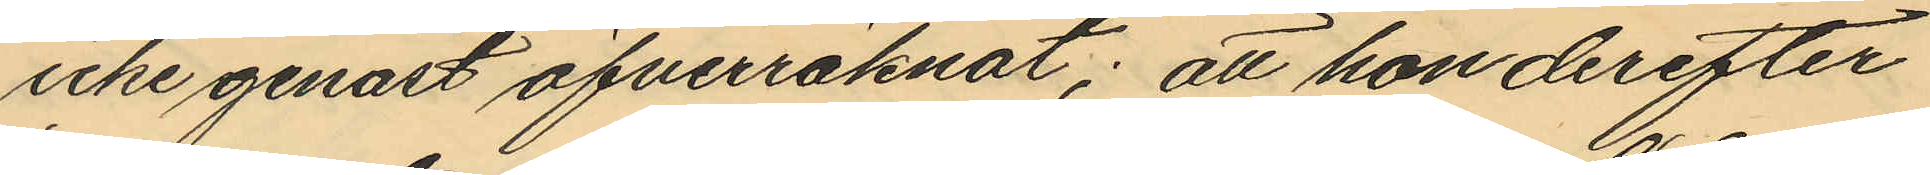icke genast öfverräknat; att hon derefter
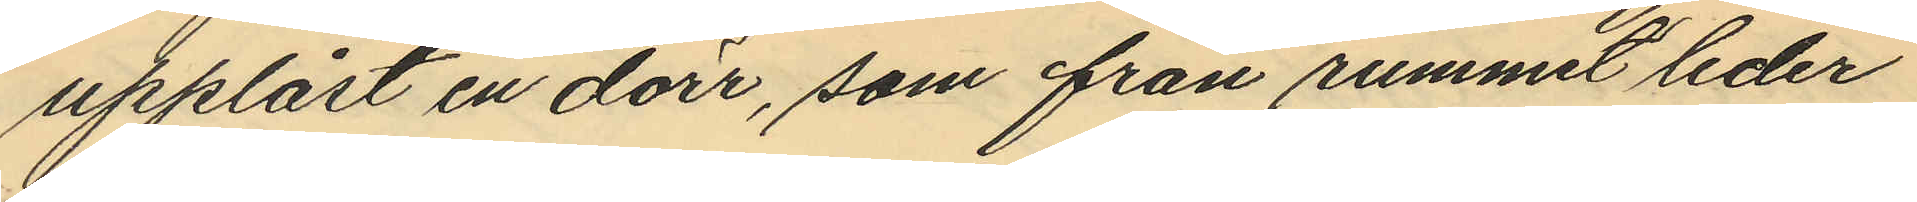upplåst en dörr, som från rummet leder
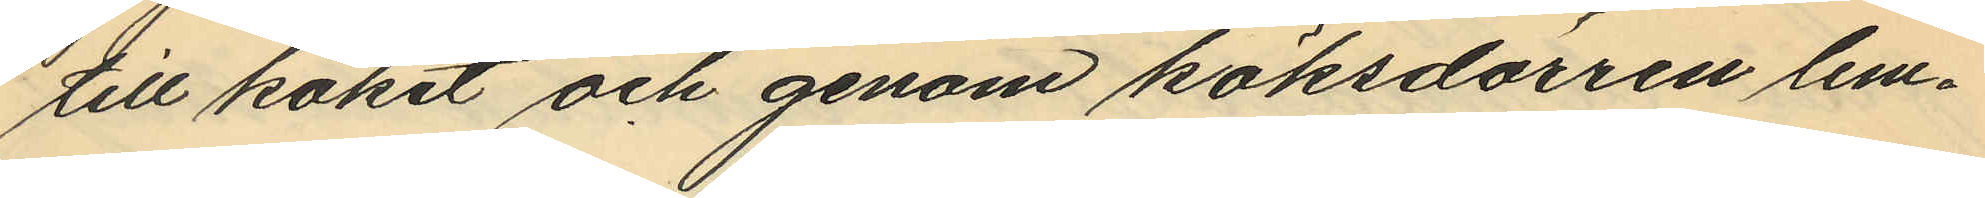till köket och genom köksdörren lem¬
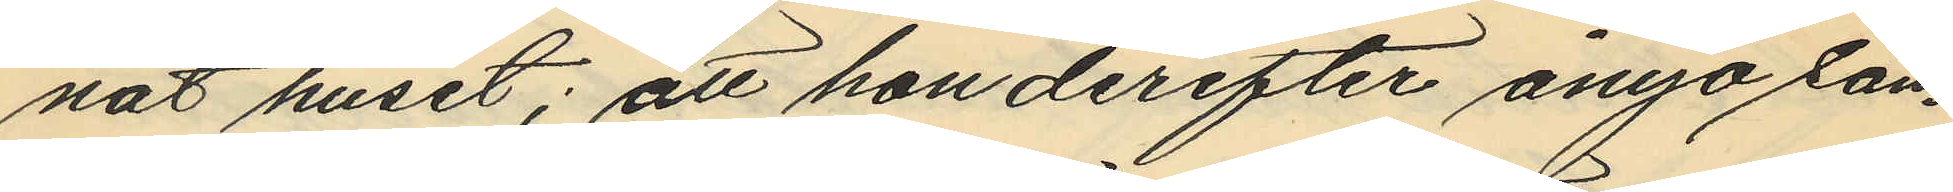nat huset; att hon derefter ånyo sam¬
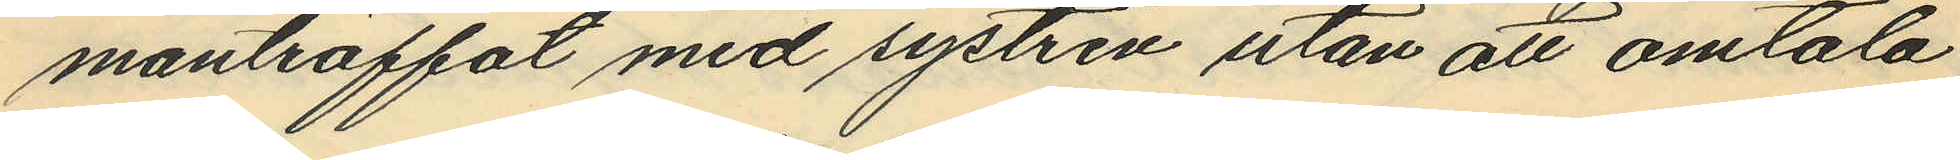manträffat med systren utan att omtala
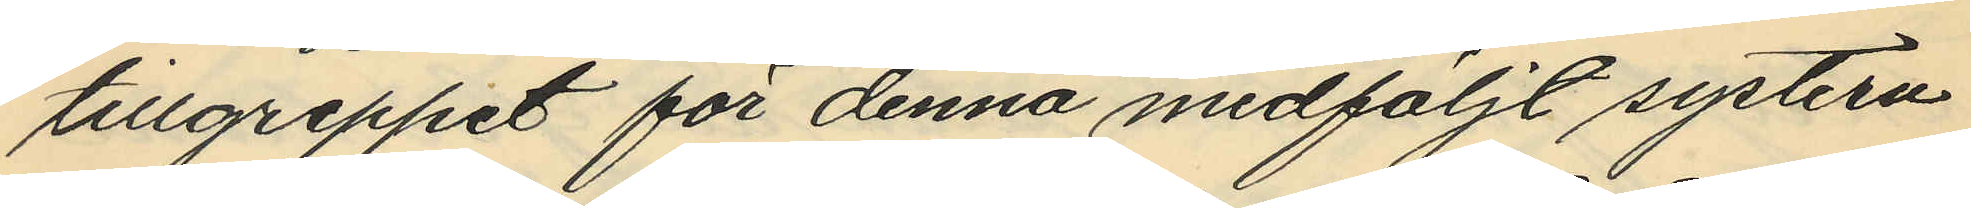tillgreppet för denna medföljt systern.
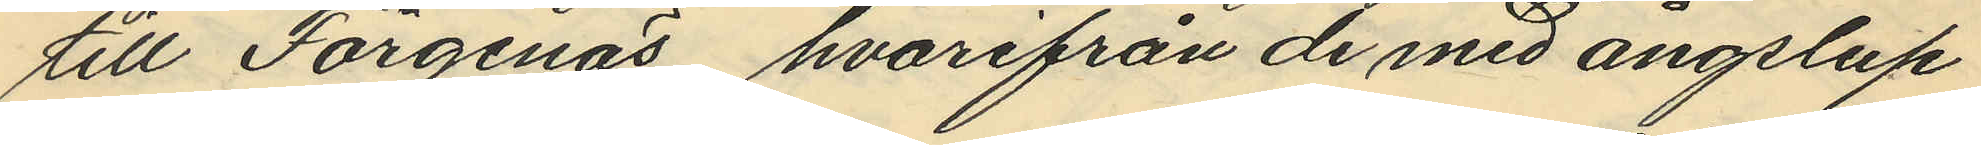till Färgenäs, hvarifrån de med ångslup
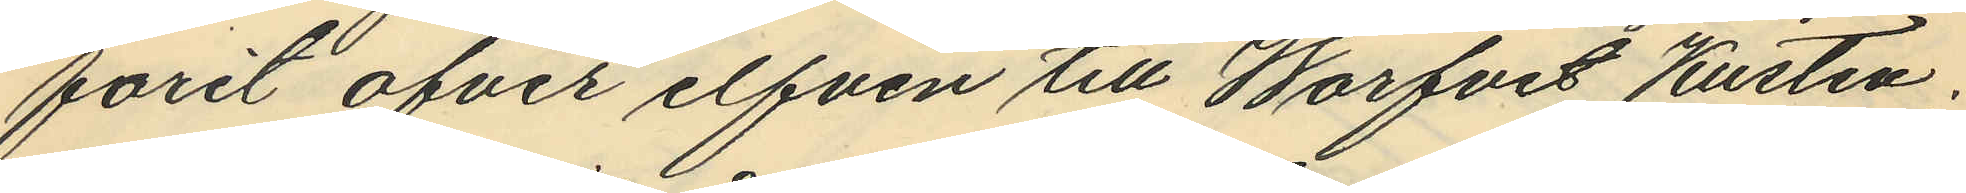farit ofver elfven till Warfvet Kusten.
